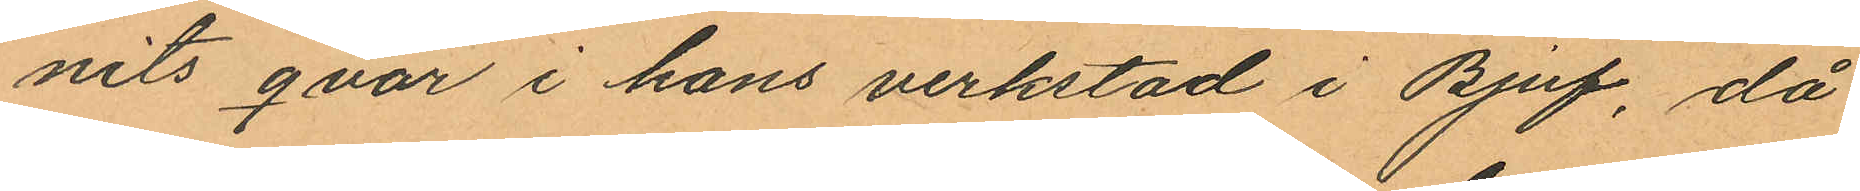nits qvar i hans verkstad i Bjuf, då
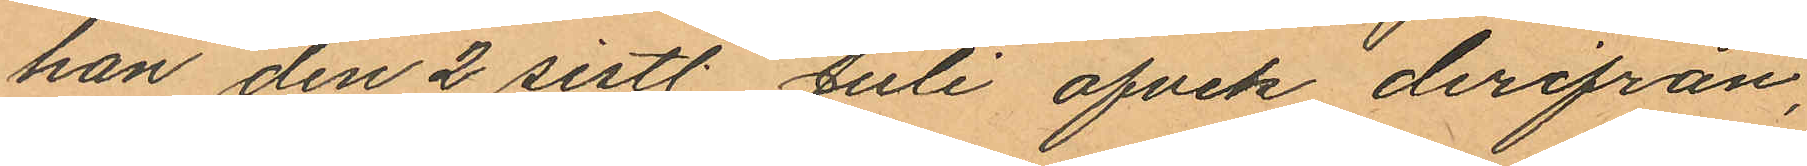han den 2 sistl. Juli afvek derifrån,
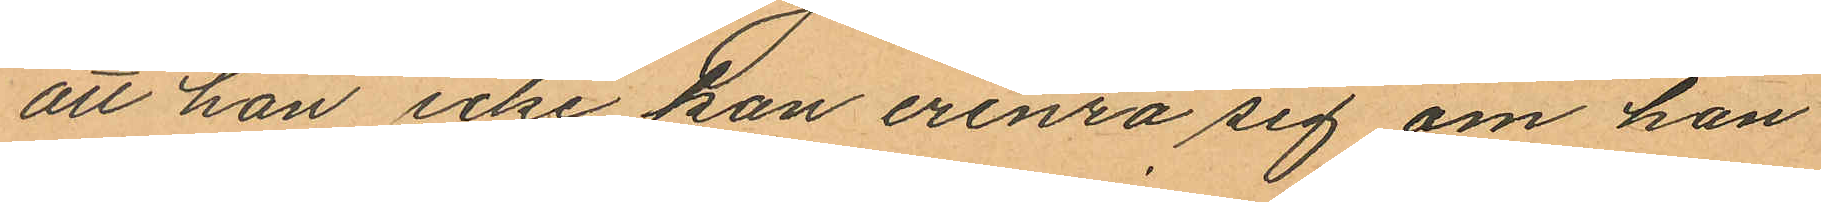att han icke kan erinra sig om han
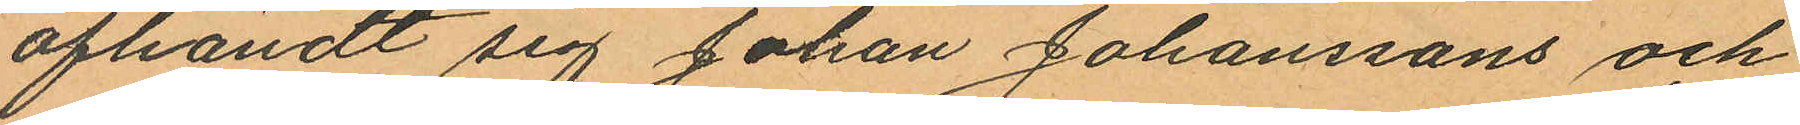afhändt sig Johan Johanssons och
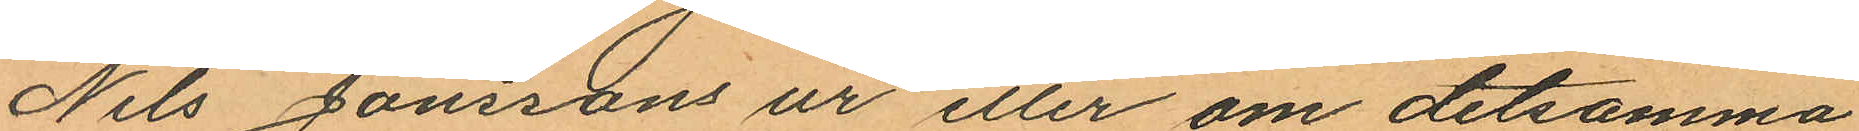Nils Jönssons ur eller om detsamma
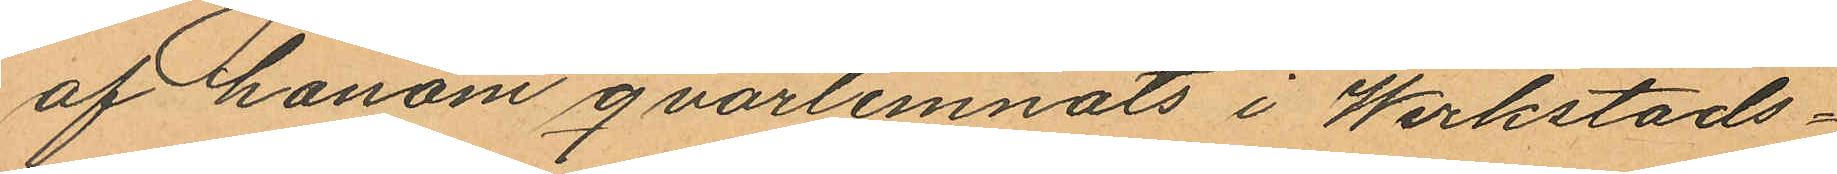af honom qvarlemnats i Werkstads¬
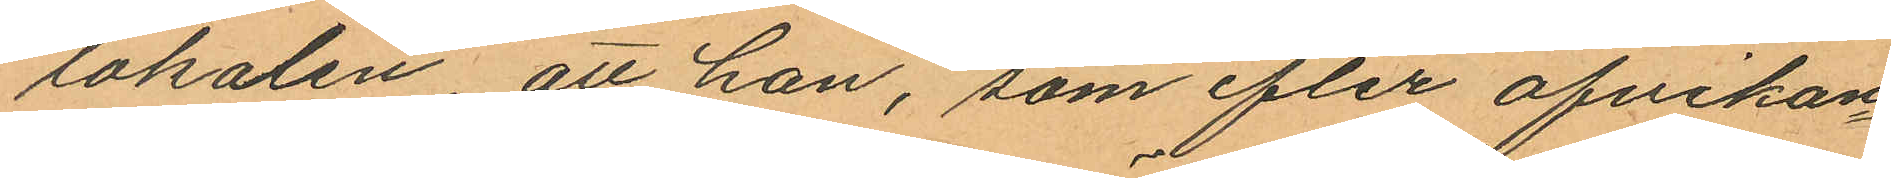lokalen att han, som efter afvikan¬
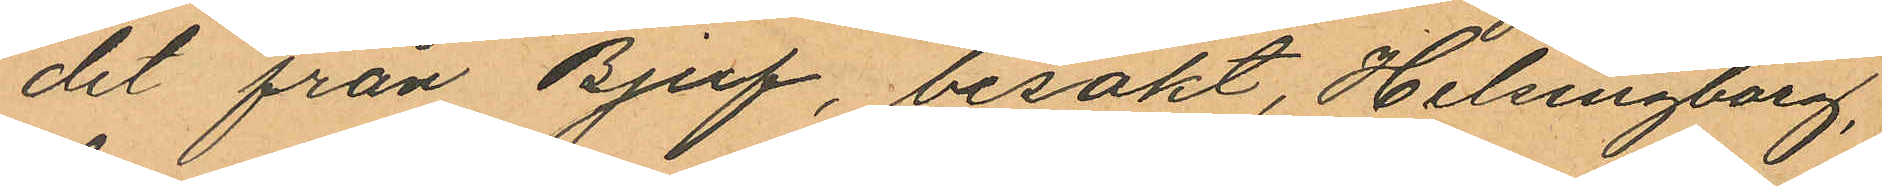det från Bjuf, besökt, Helsingborg,
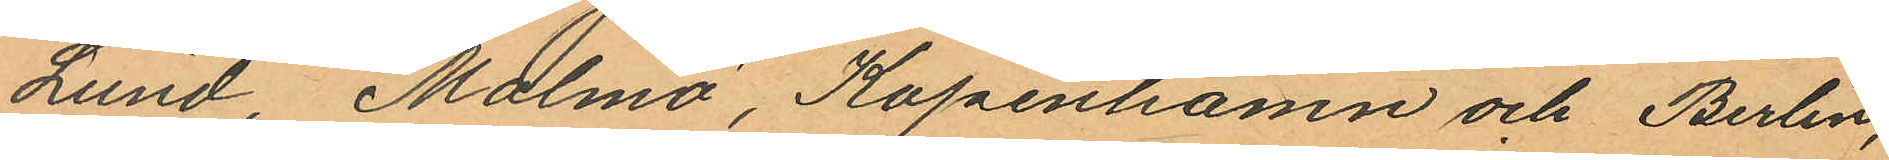Lund, Malmö, Köpenhamn och Berlin,
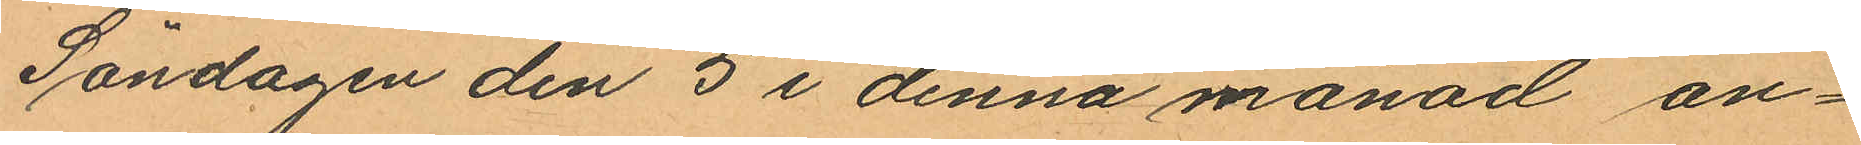Söndagen den 5 i denna månad an¬
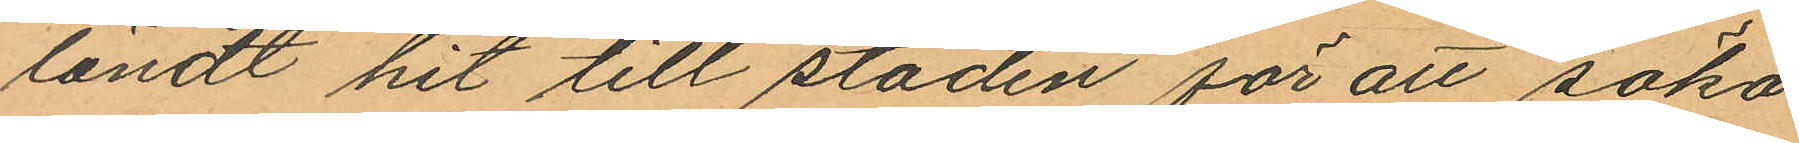ländt hit till staden för att söka
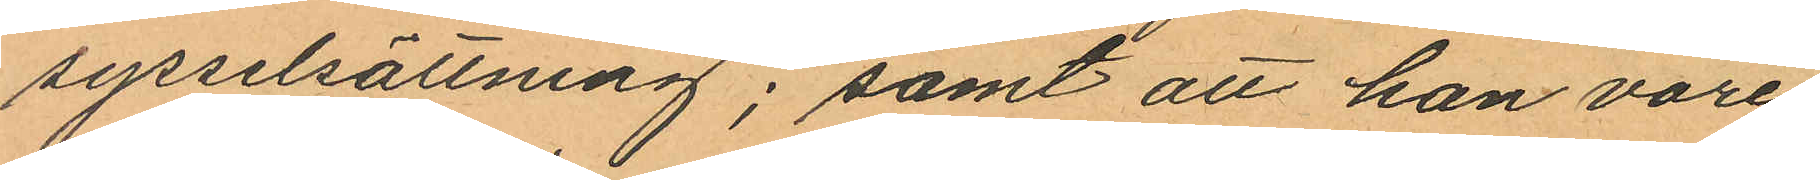sysselsättning; samt att han vore
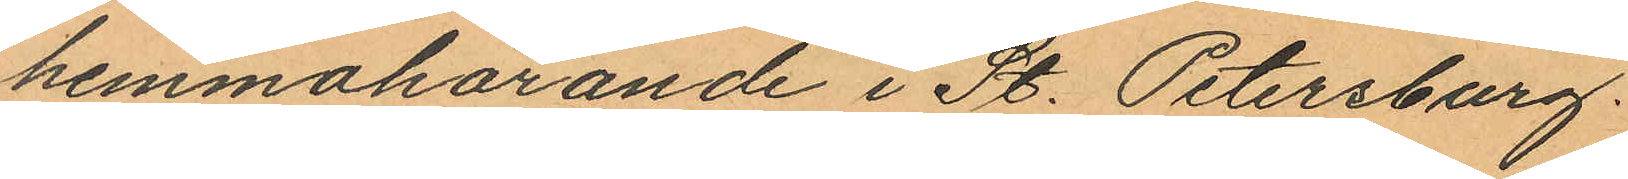hemmahörande i St. Petersburg.
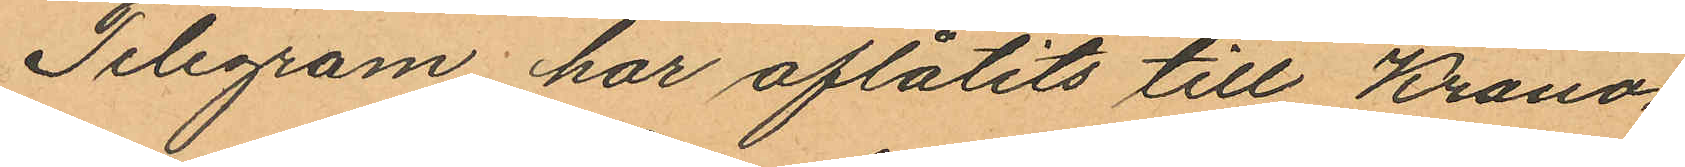Telegram har aflåtits till Krono¬
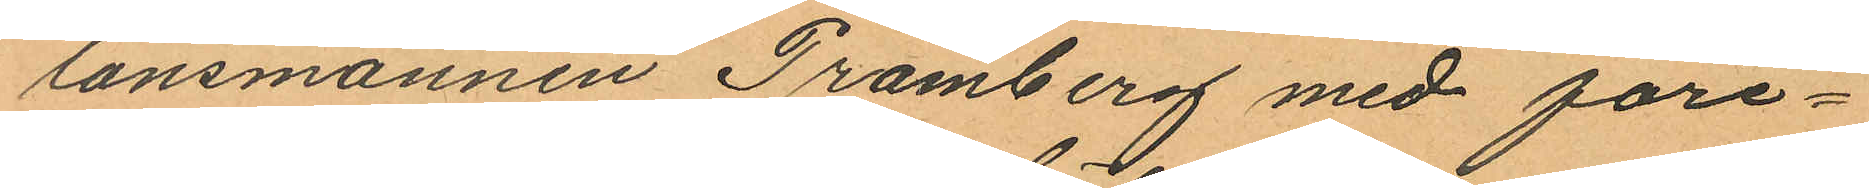länsmannen Pramberg med före¬
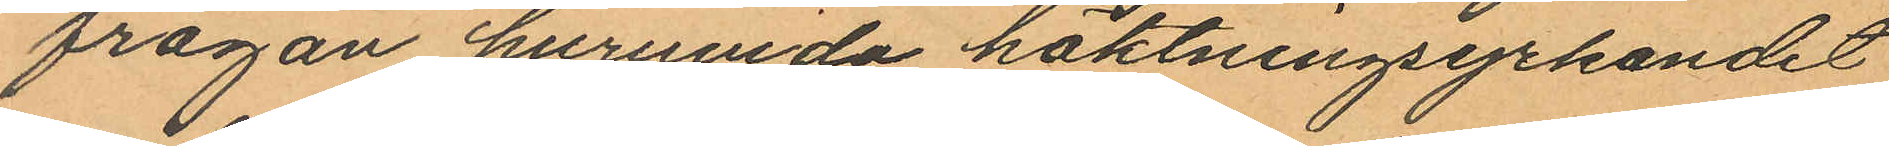frågan huruvida häktningsyrkandet
